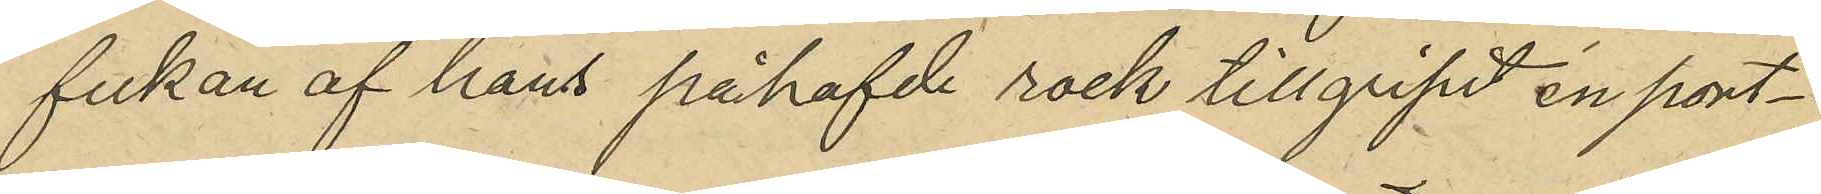fickan af hans påhafvde rock tillgripit en port¬
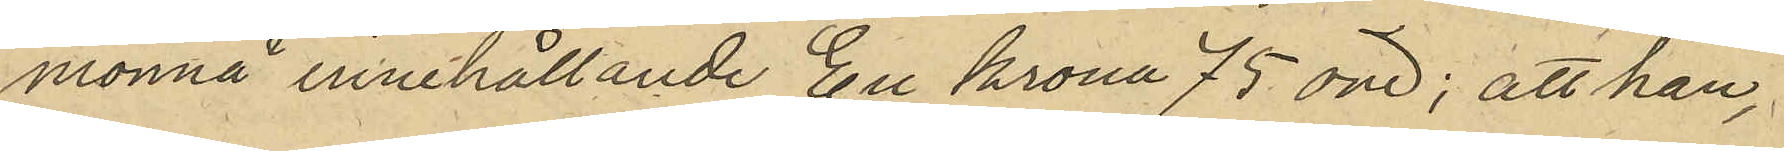monnä, innehållande En Krona 75 öre; att han,
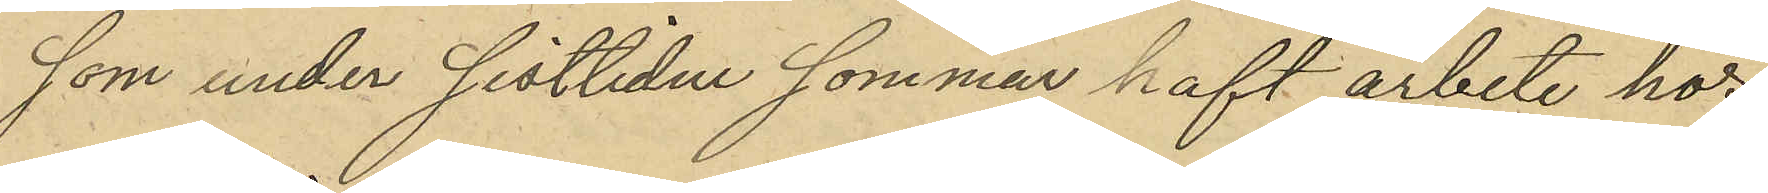som under sistlidne sommar haft arbete hos
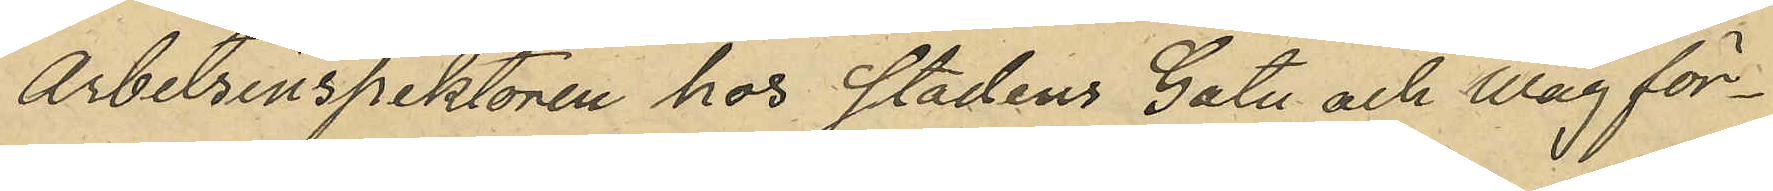Arbetsinspektören hos Stadens Gatu och Wäg för¬
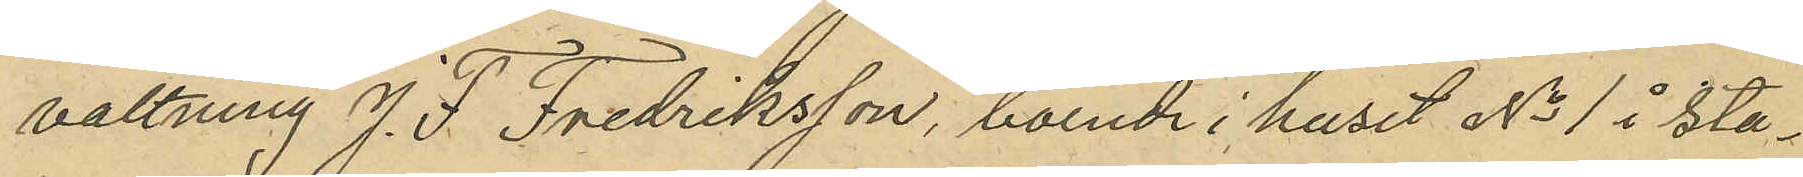valtning J. F. Fredriksson, boende i huset No 1 i sta¬
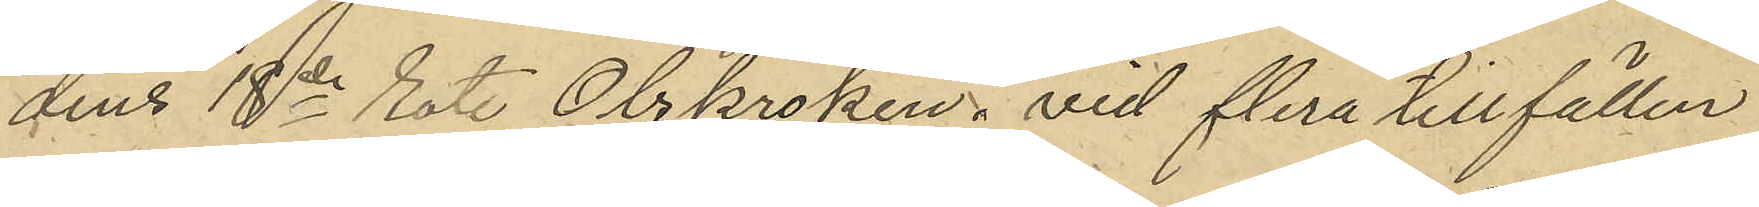dens 18de Rote Olskroken, vid flera tillfällen
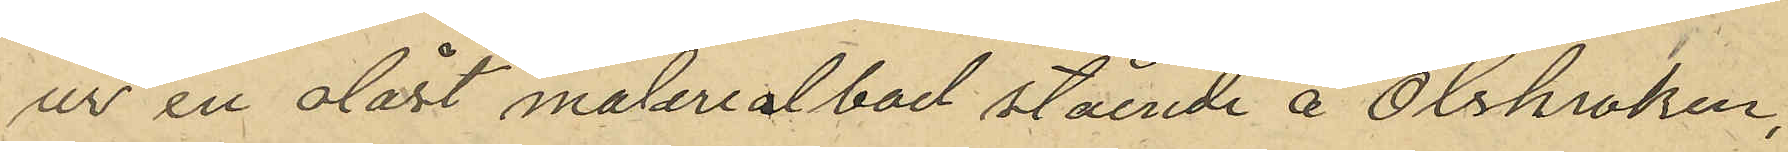ur en olåst materialbod stående å Olskroken,
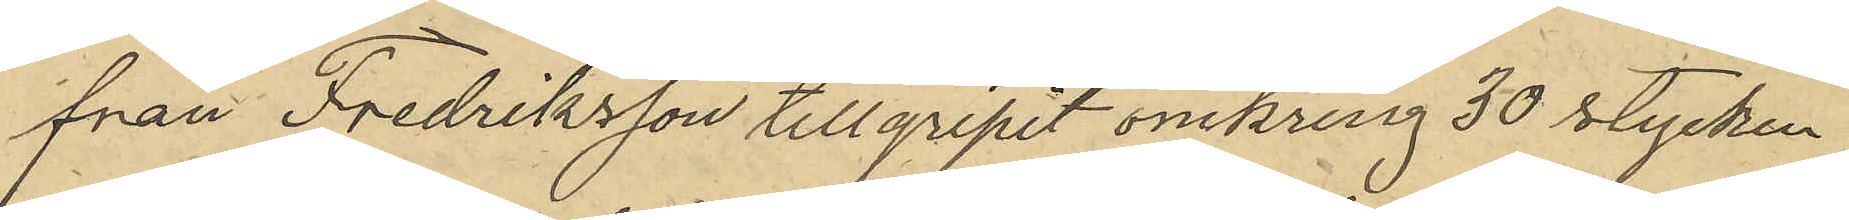från Fredriksson tillgripit omkring 50 stycken
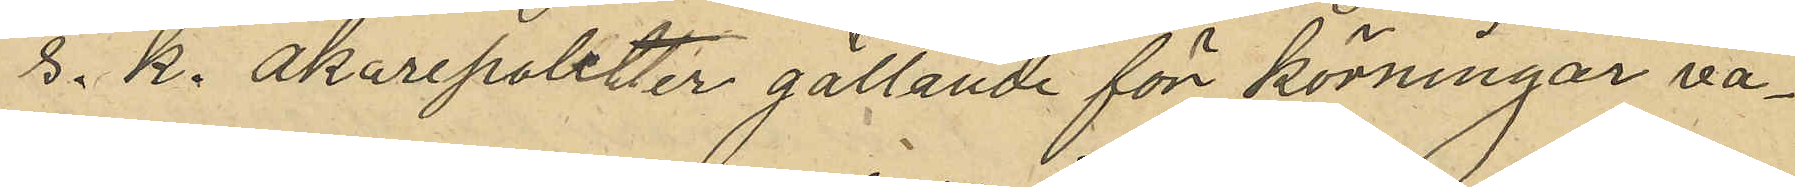s. k. Åkarepoletter gallande för körningar va¬
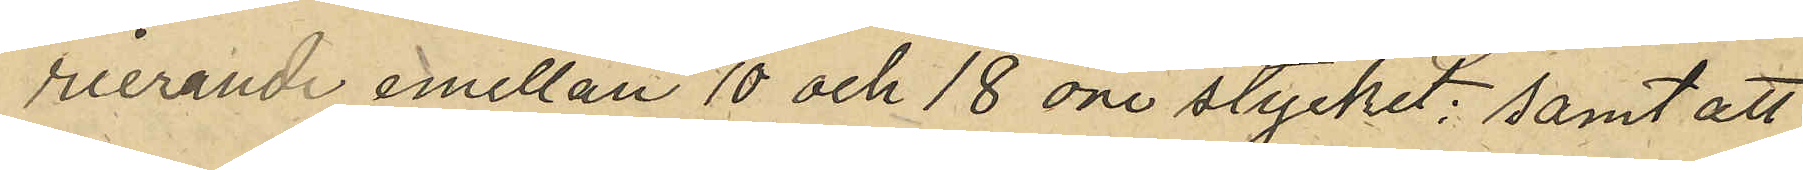rierande emellan 10 och 18 öre stycket; samt att
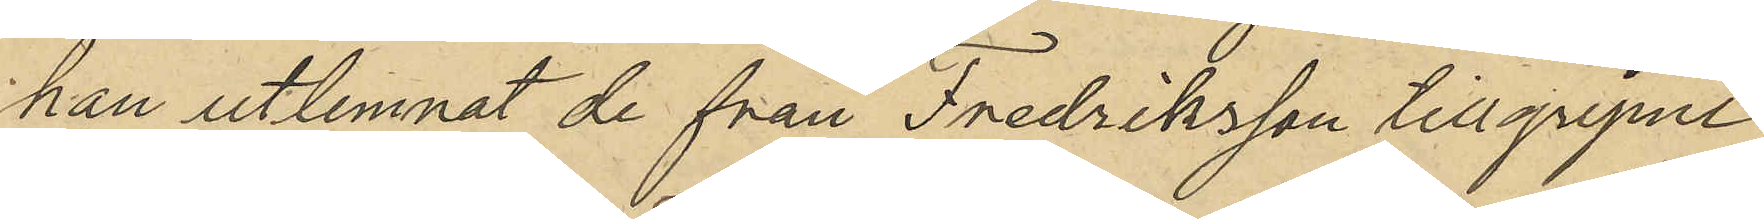han utlemnat de från Fredriksson tillgripne
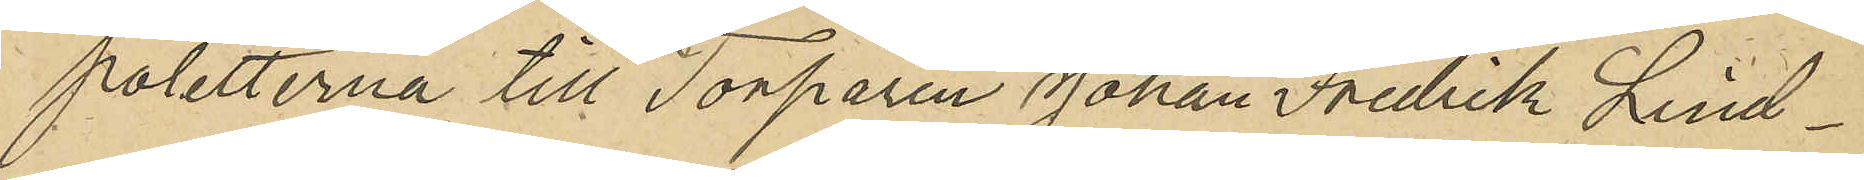poletterna till Torparen Johan Fredrik Lind¬
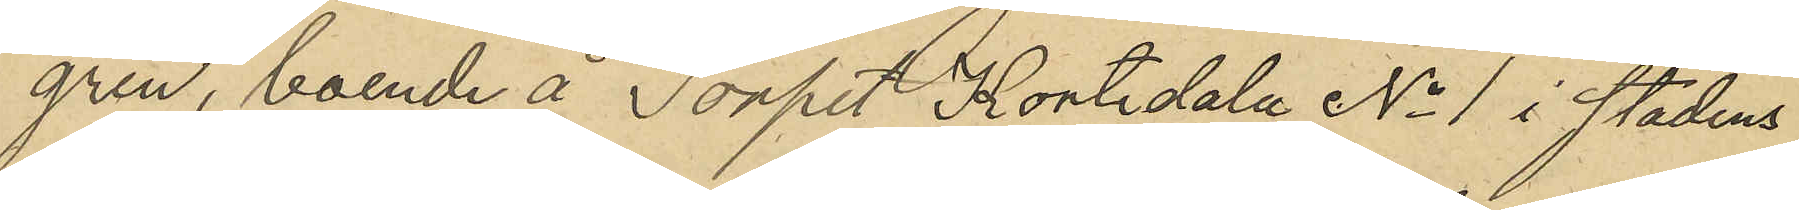gren, boende å Torpet "Kortedala No 1 i stadens
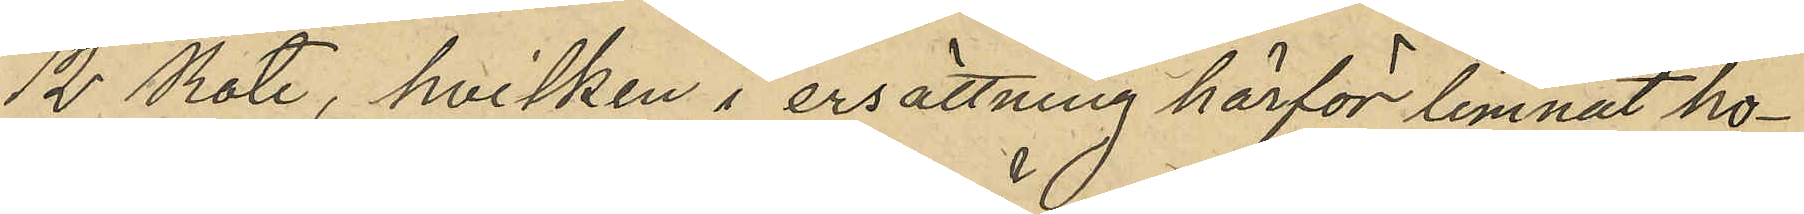12 Rote, hvilken i ersättning härför lemnat ho¬
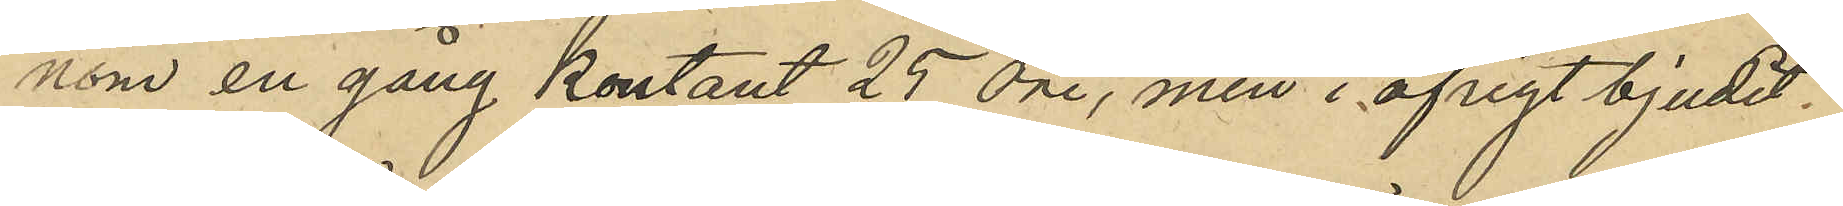nom en gång kontant 25 öre, men i öfrigt bjudit
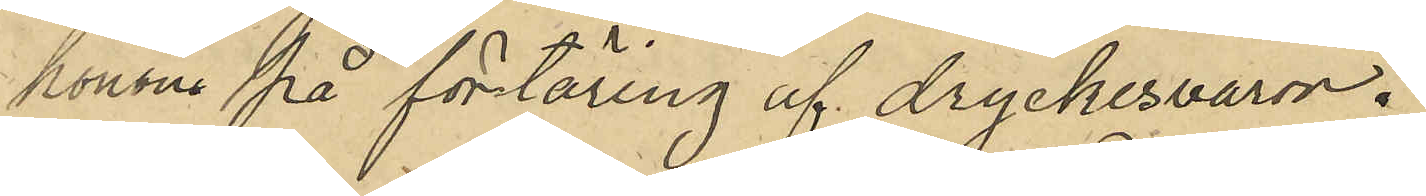honom på förtäring af dryckesvaror.
